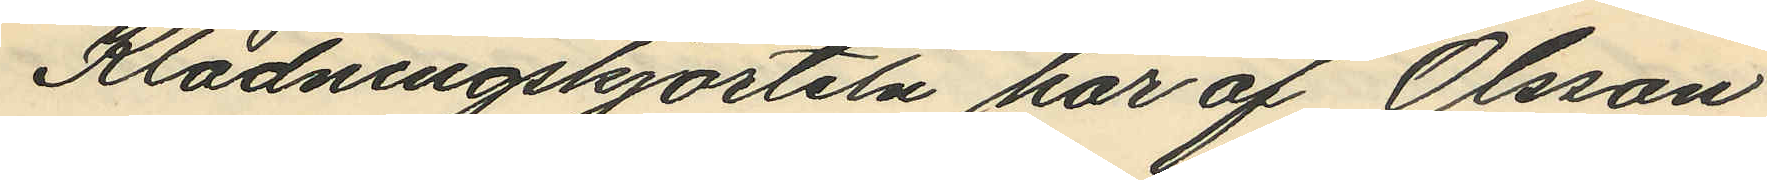Klädningskjorteln har af Olsson
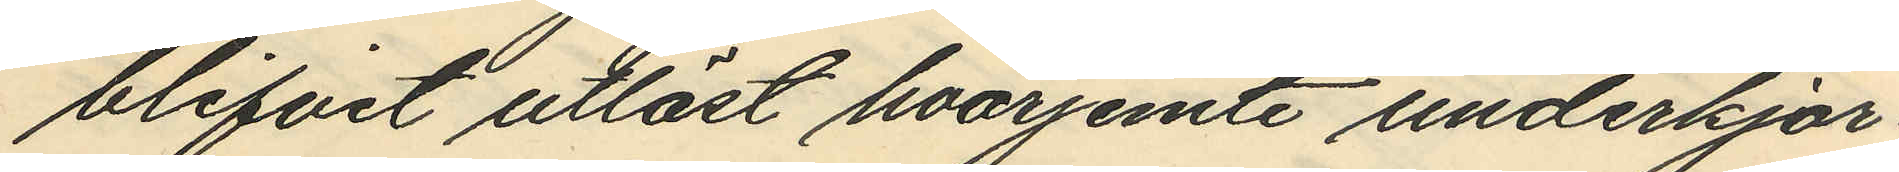blifvit utlöst hvarjemte underkjor¬
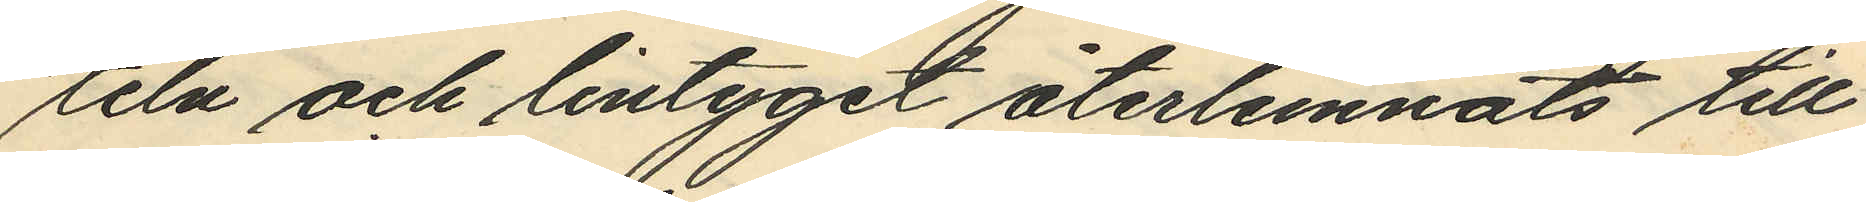teln och lintyget återlemnats till
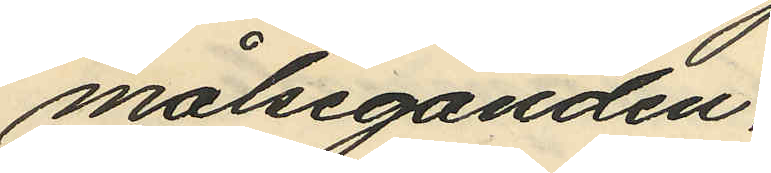målseganden.
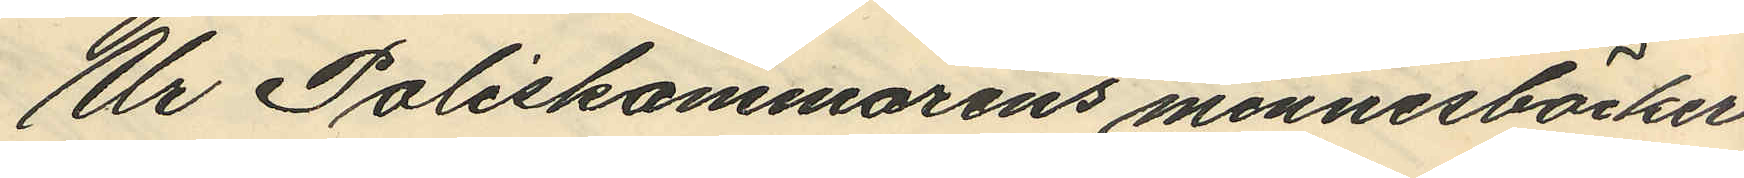Ur Poliskammarens minnesböcker
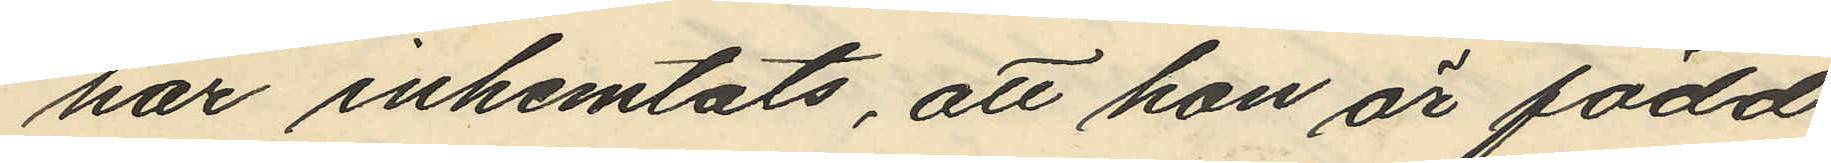har inhemtats, att hon är född
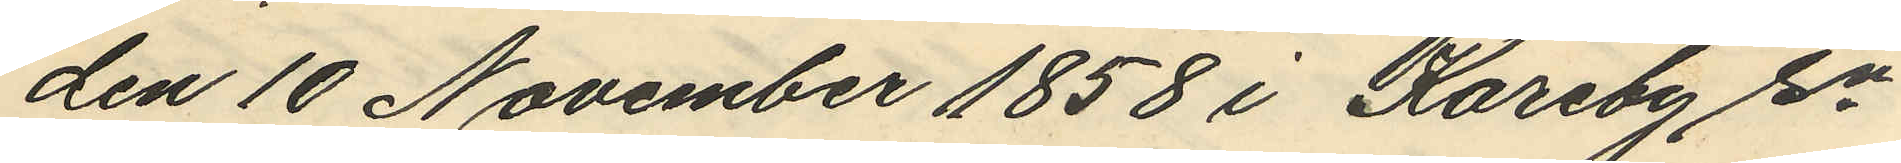den 10 November 1858 i Kareby sn
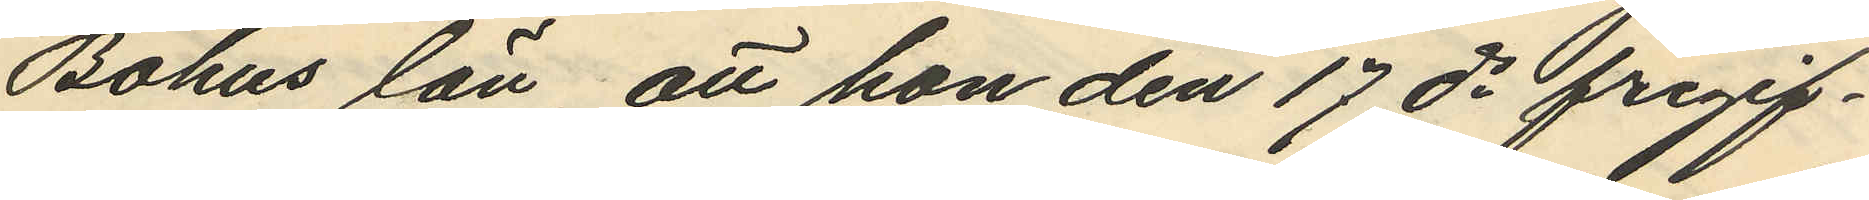Bohus län, att hon den 17 ds frigif¬
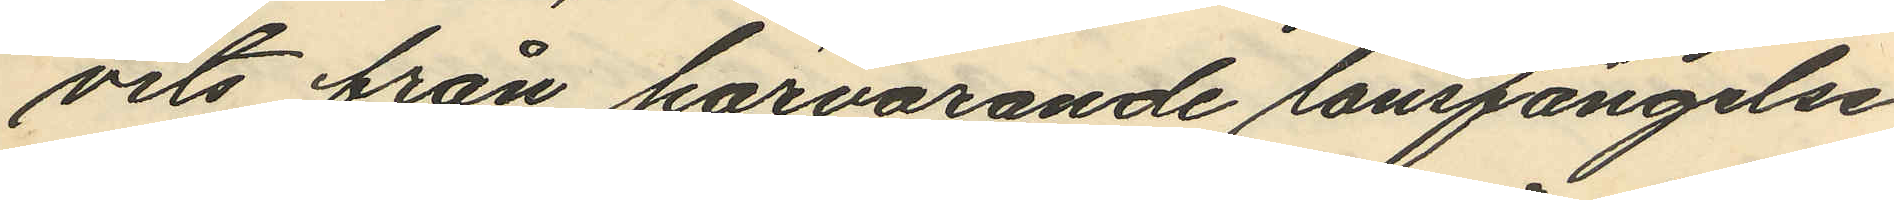vits från härvarande länsfängelse
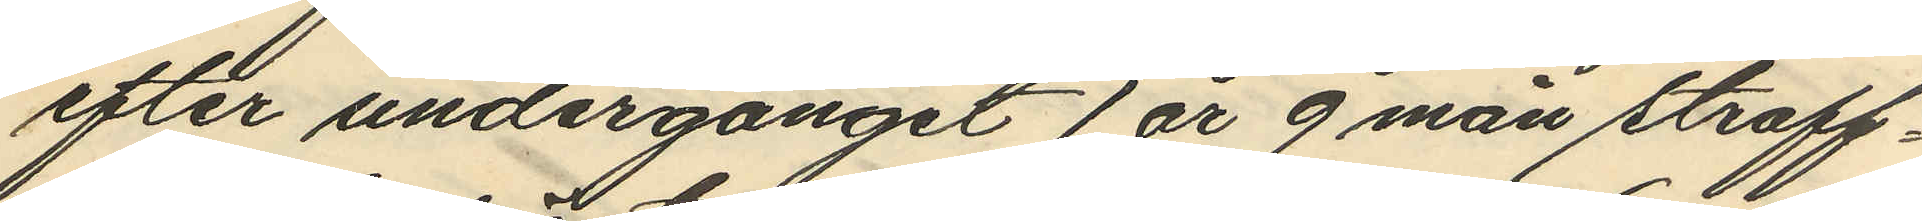efter undergånget 1 år 9 mån straff¬
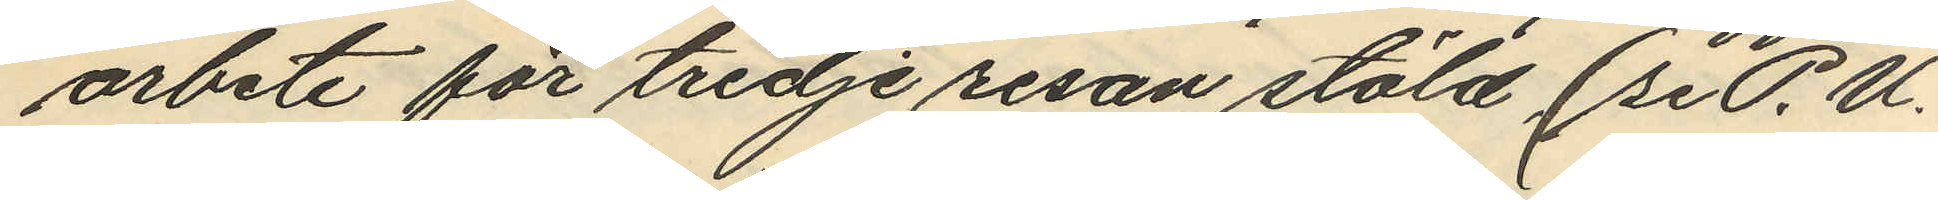arbete för tredje resan stöld (se P. U.
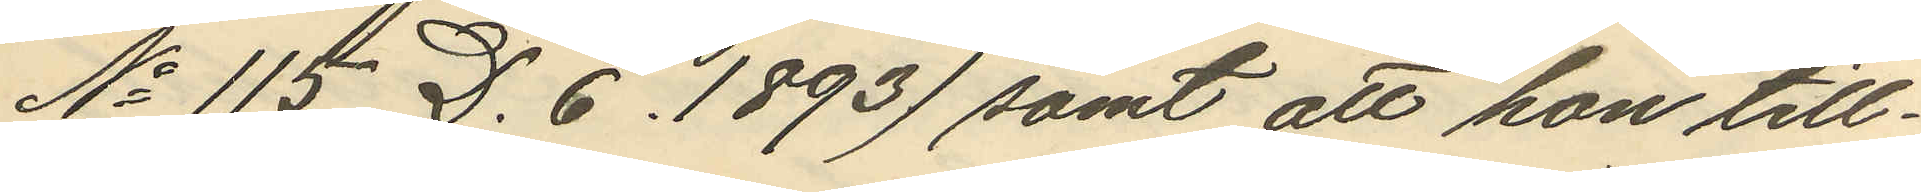No 115 D. 6. 1893) samt att hon till¬
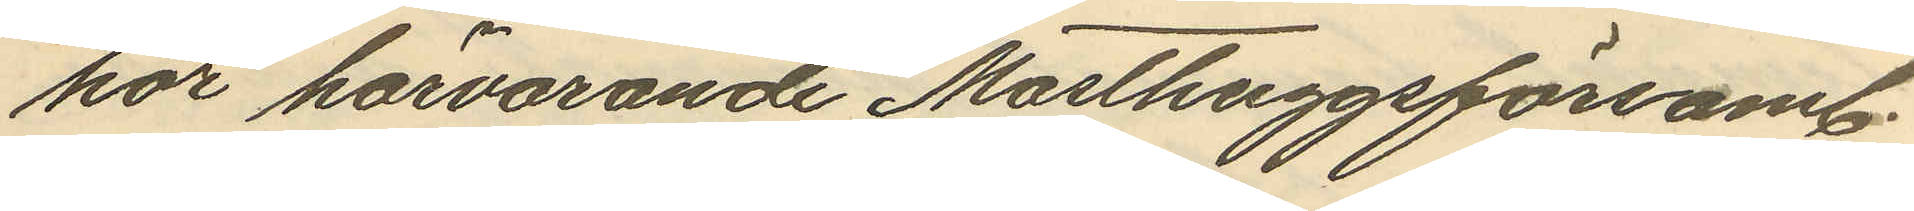hör härvarande Masthuggsförsaml.
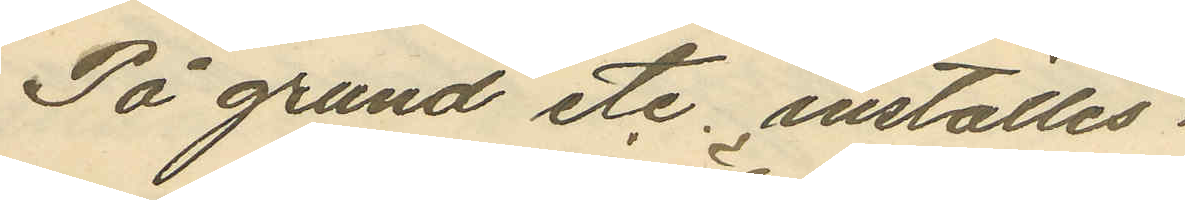På grund etc, inställes.
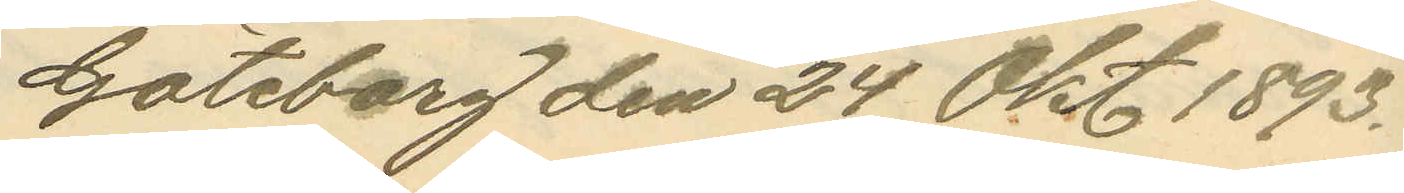Göteborg den 24 Okt 1893.
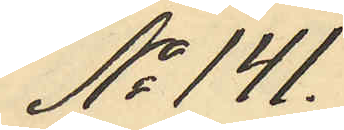No 141.
